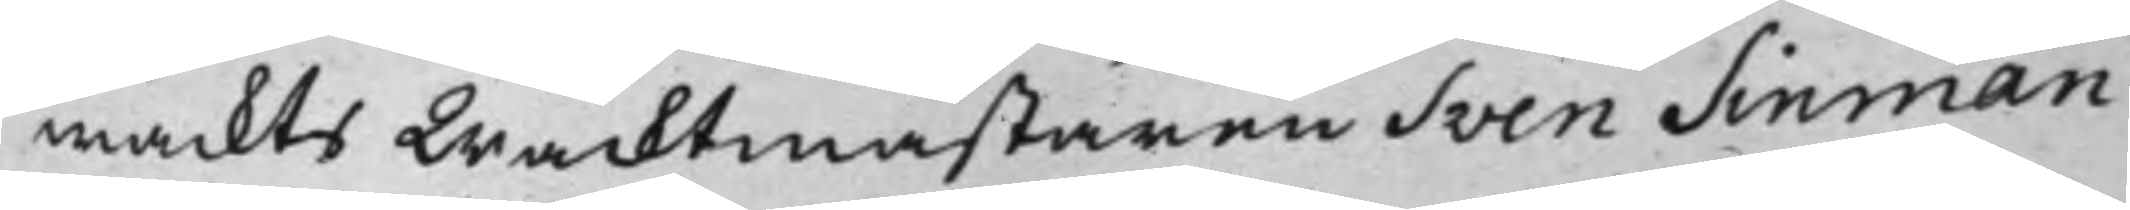wackts Wacktmästaren Sven Sinman
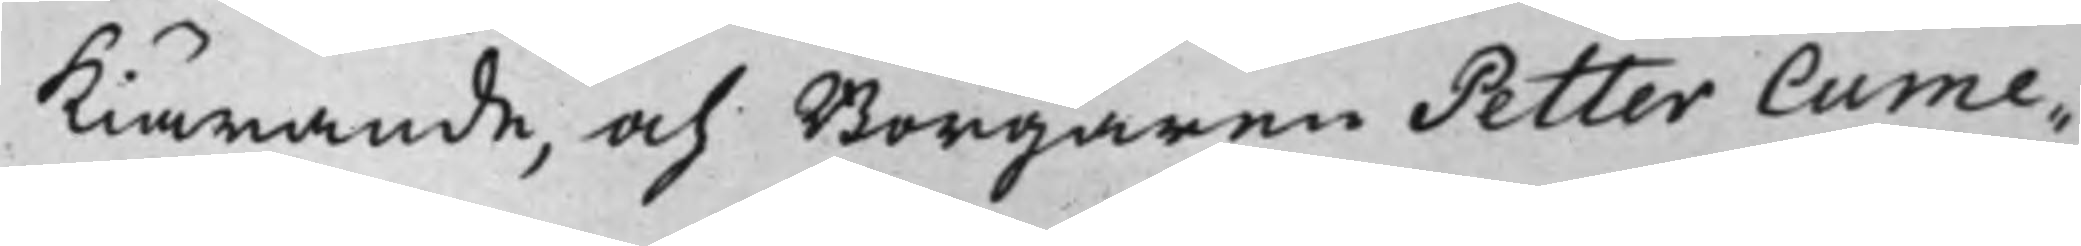Kiärande, och Borgaren Petter Cume¬
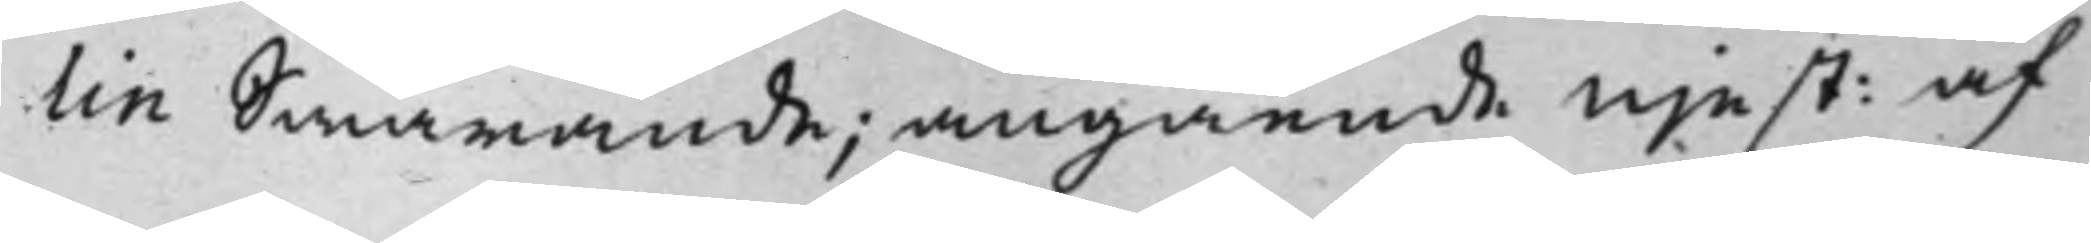lin Swarande, angående nje st: af
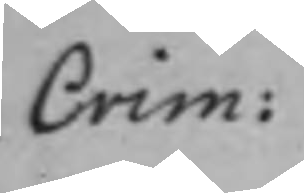Crim:
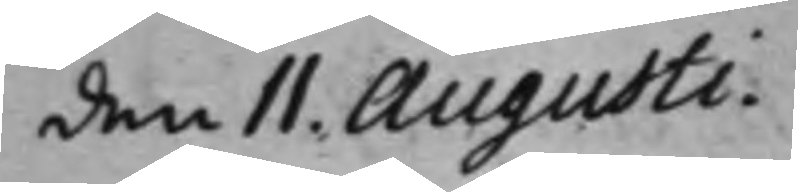den 11. Augusti.
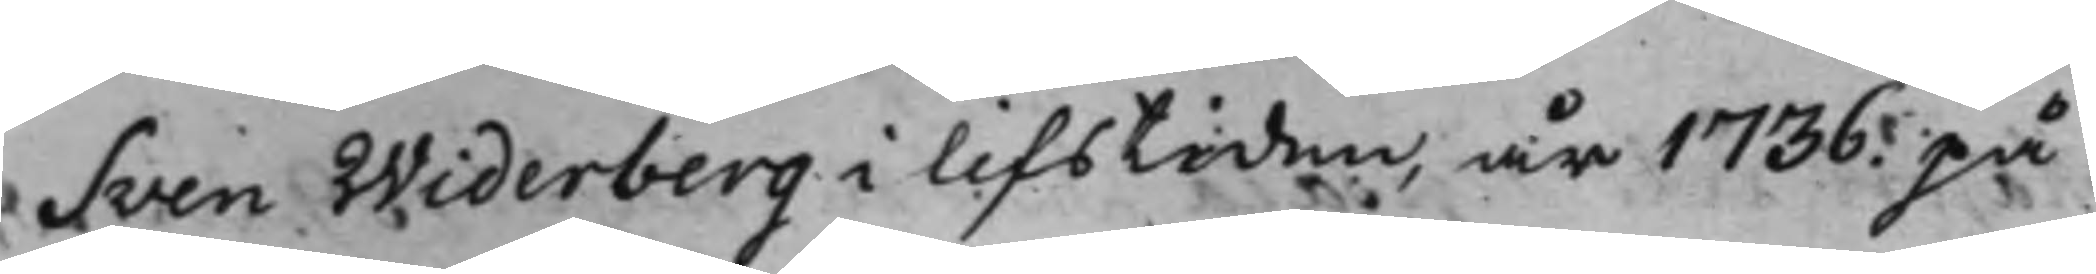Sven Widerberg i lifstiden, år 1736. på
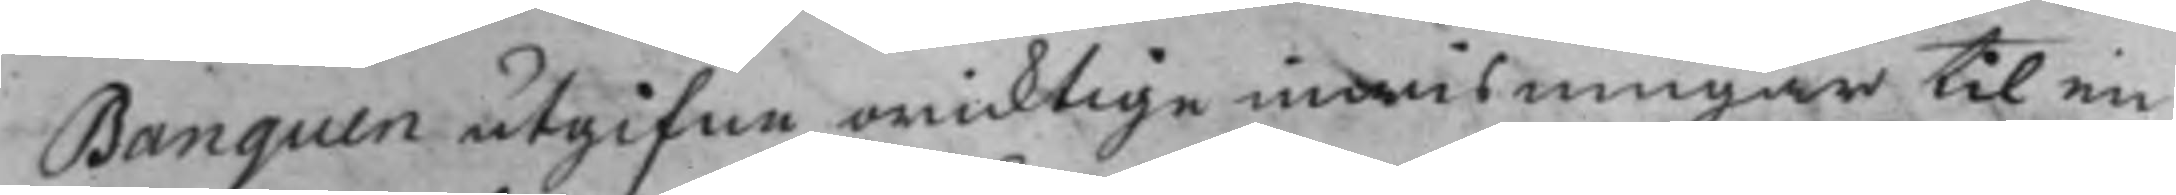Banquen utgifne oricktige inwisningar til en
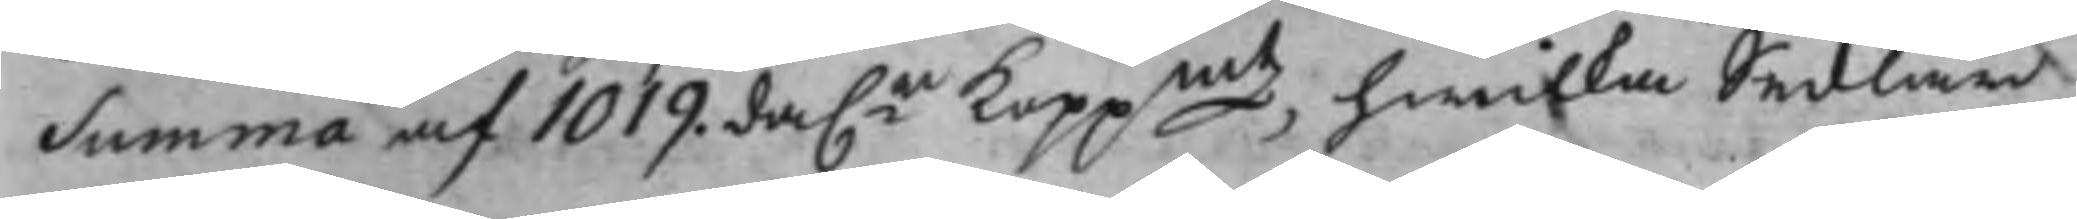Summa af 1019. da.r Koppmt, hwilka Sedlar
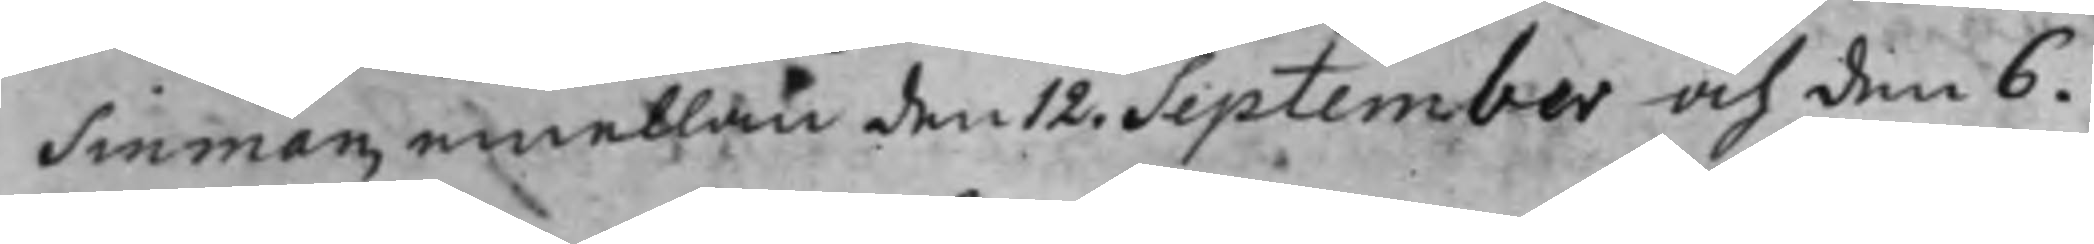Sinman, emellan den 12. September och den 6.
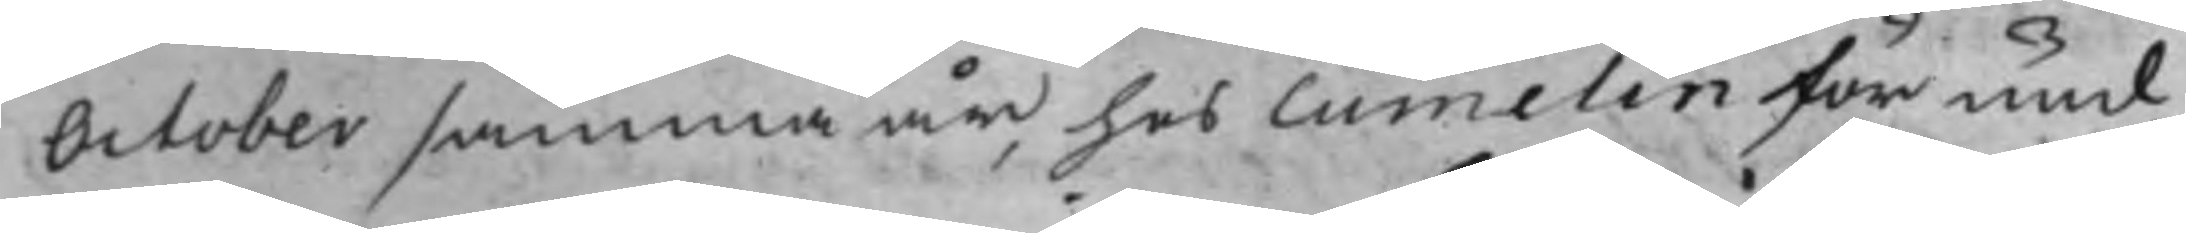October samma år, hos Cumelin för und¬
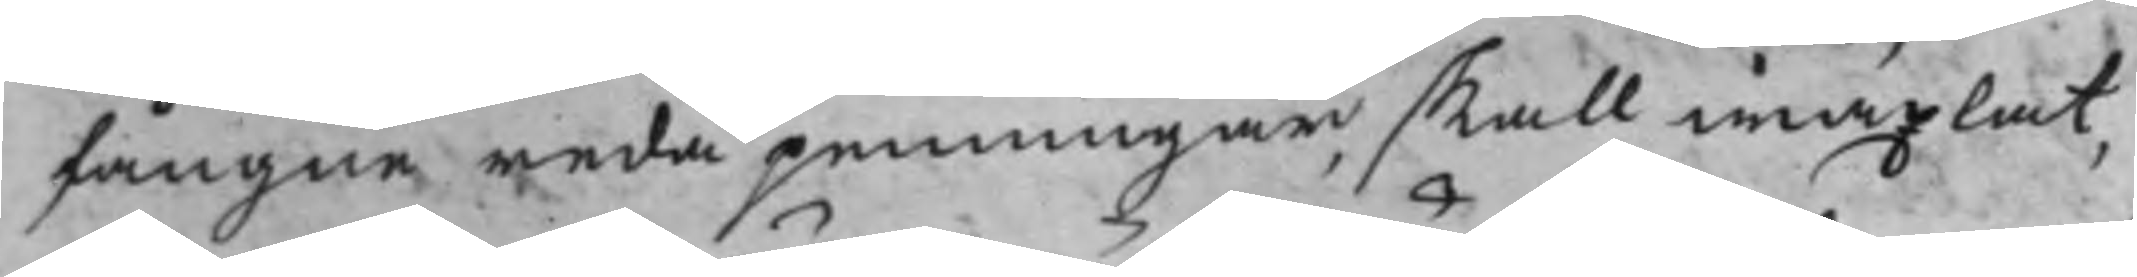fångne reda penningar, skall wäxlat,
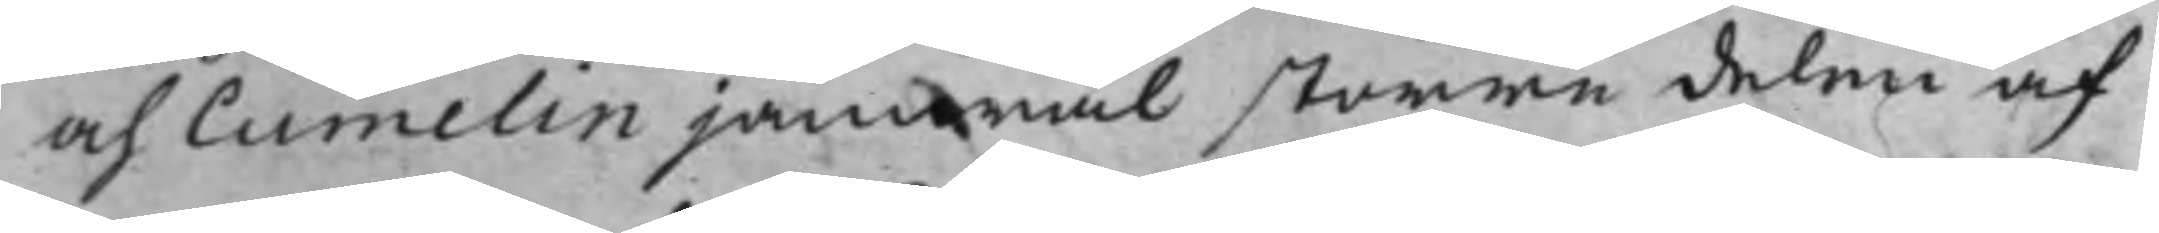och Cumelin jämwäl större delen af
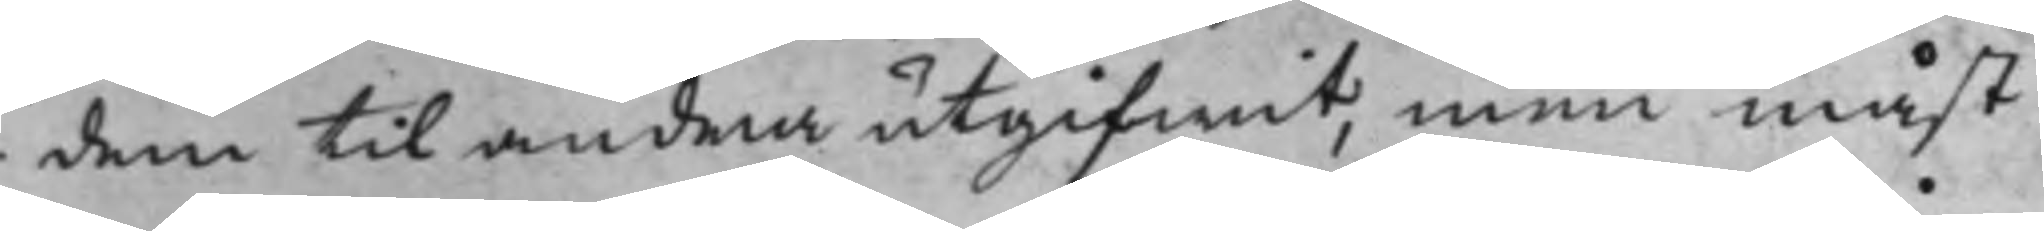dem til andra utgifwit, men måst
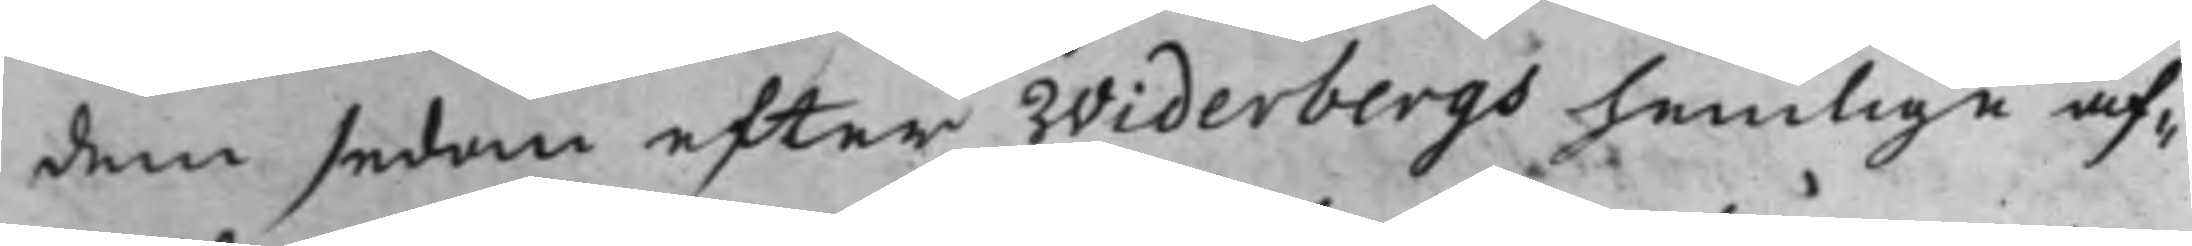dem sedan efter Widerbergs hemlige af¬
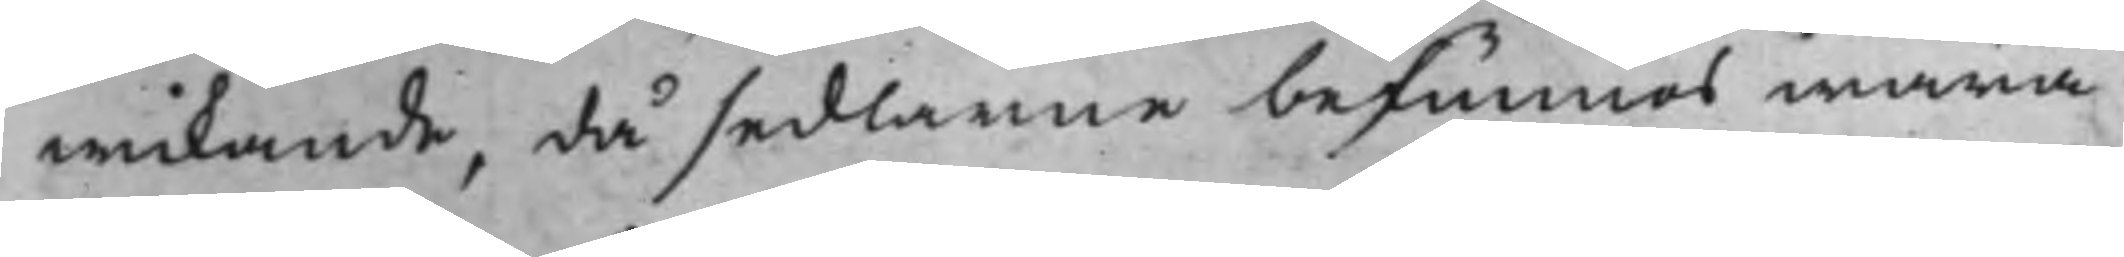wikande, då sedlarne befunnes wara
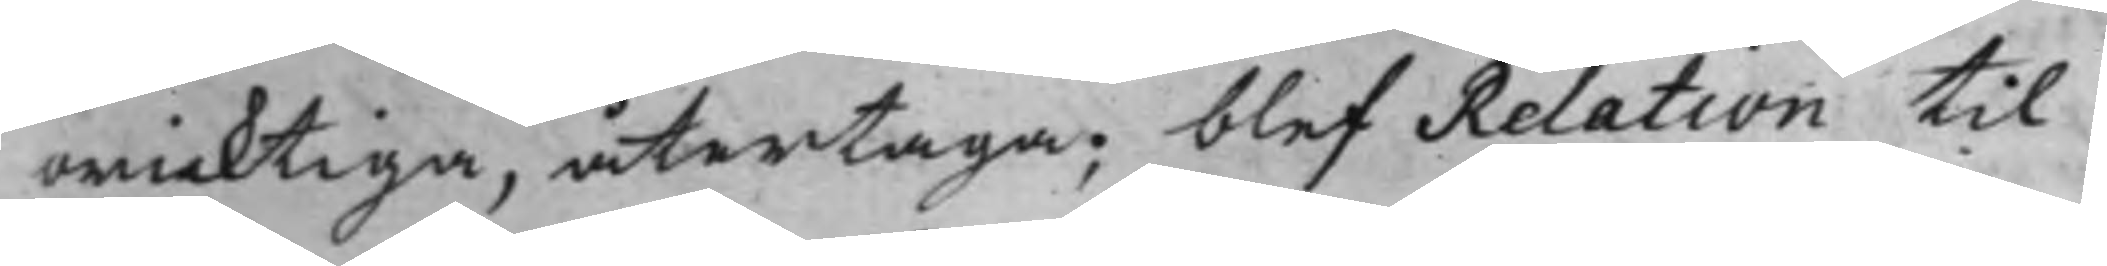oricktige, återtaga; blef Relation til
